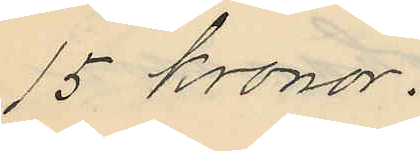15 kronor.
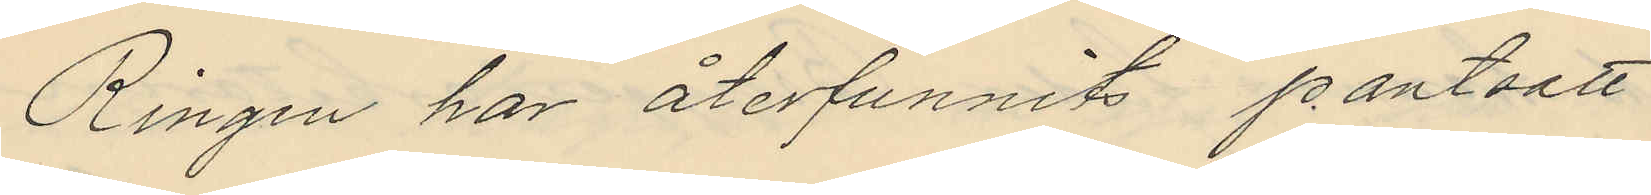Ringen har återfunnits pantsatt
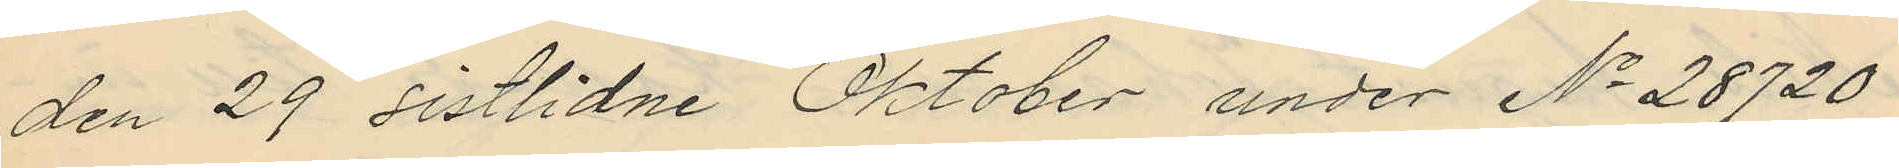den 29 sistlidne Oktober under No 28720
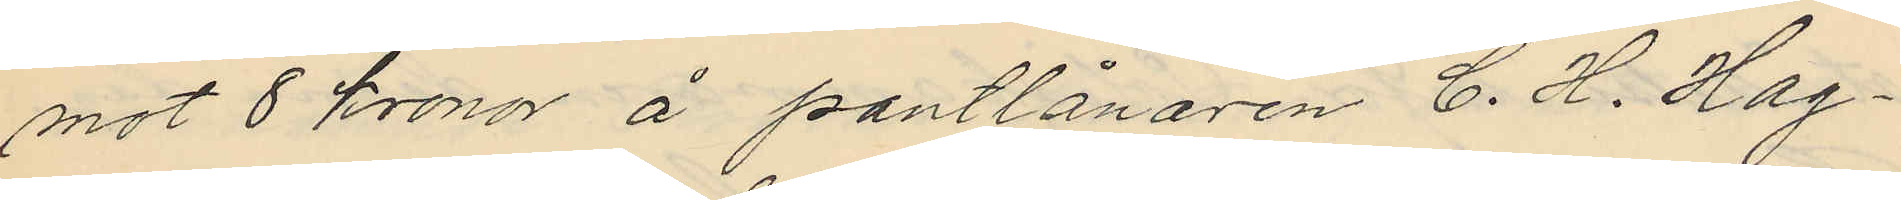mot 8 kronor å pantlånaren C. H. Hag¬
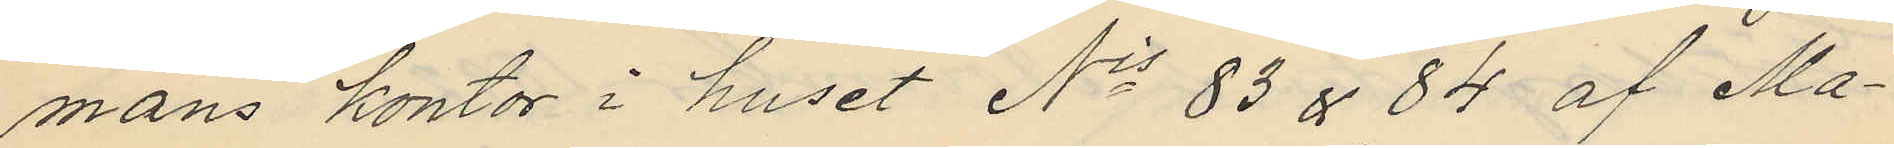mans kontor i huset No 83 & 84 af Ma¬
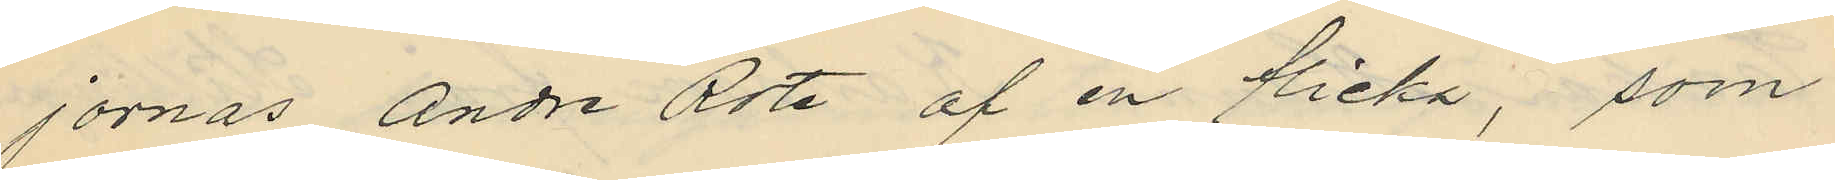jornas andre Rote af en flicka, som
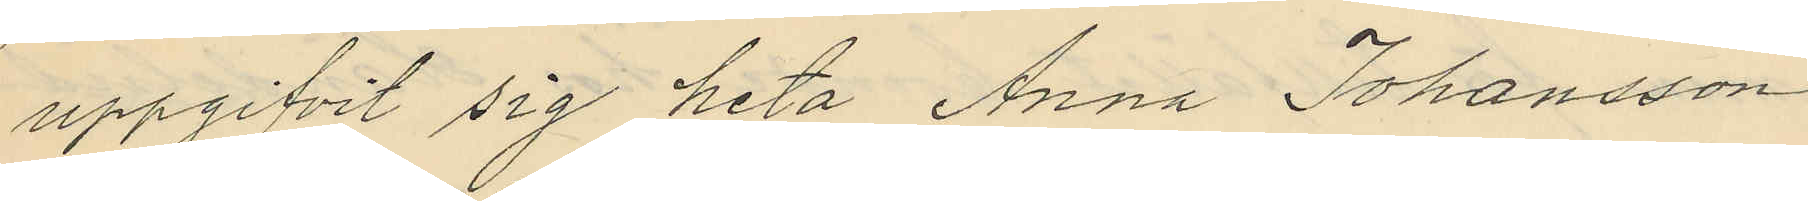uppgifvit sig heta Anna Johansson
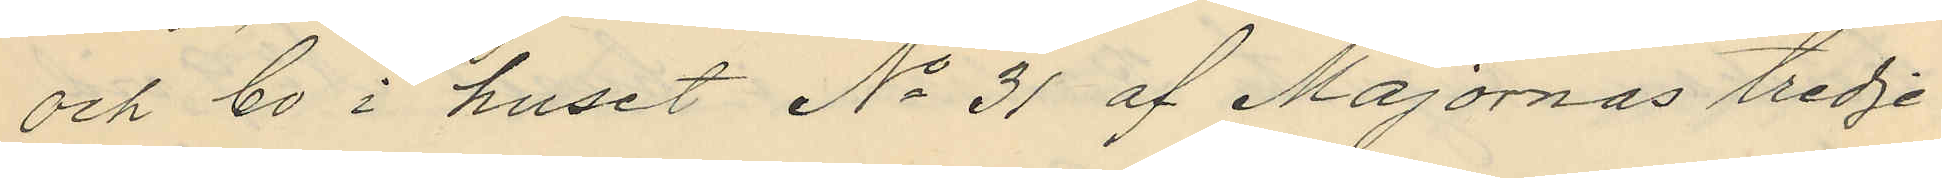och bo i huset No 31 af Majornas tredje
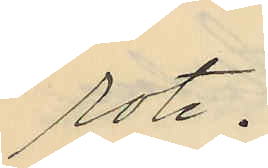rote.
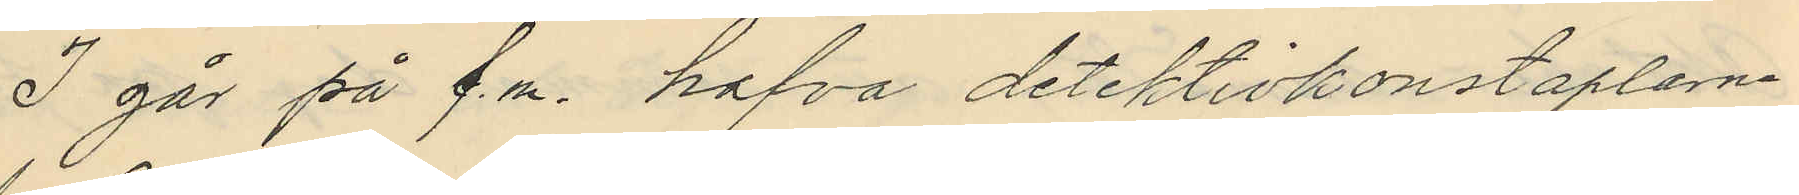I går på f.m. hafva detektivkonstaplarna
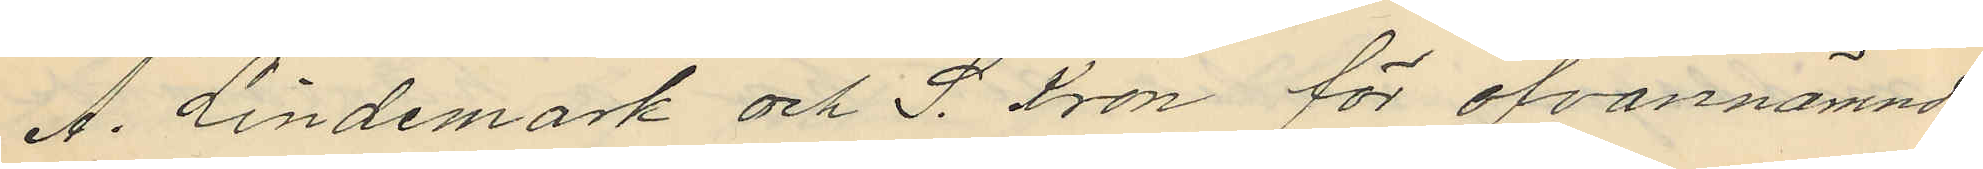A. Lindemark och S. Kron för ofvannämnde
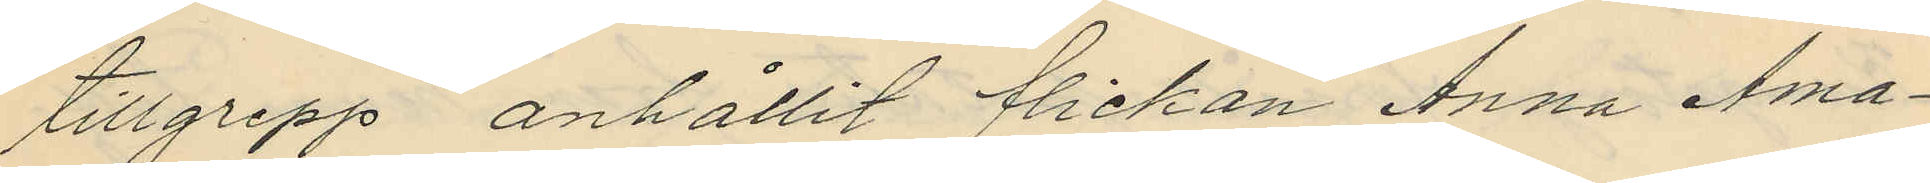tillgrepp anhållit flickan Anna Ama¬
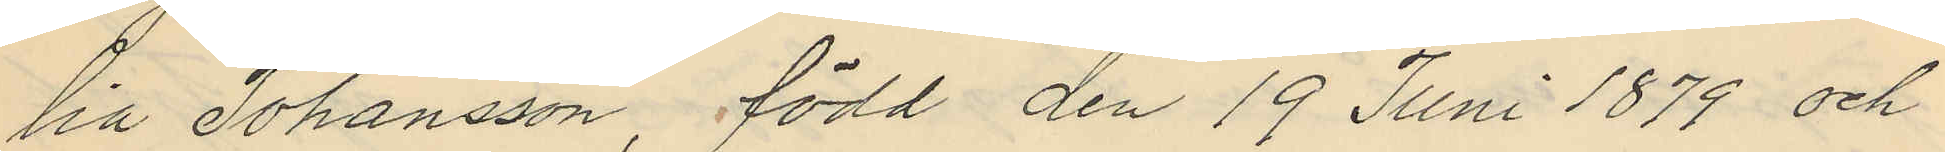lia Johansson, född den 19 Juni 1879 och
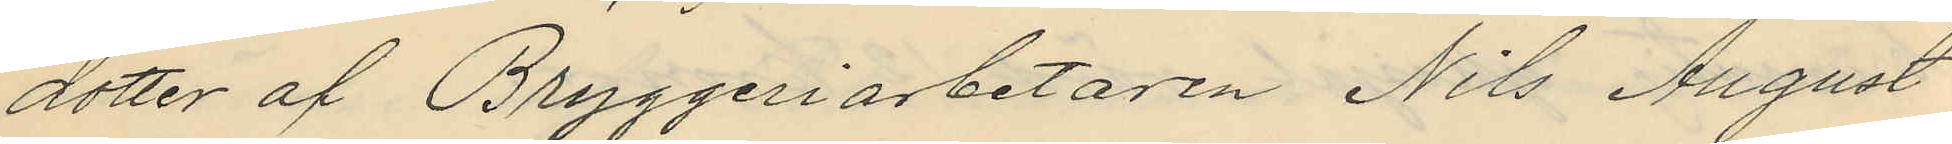dotter af Bryggeriarbetaren Nils August
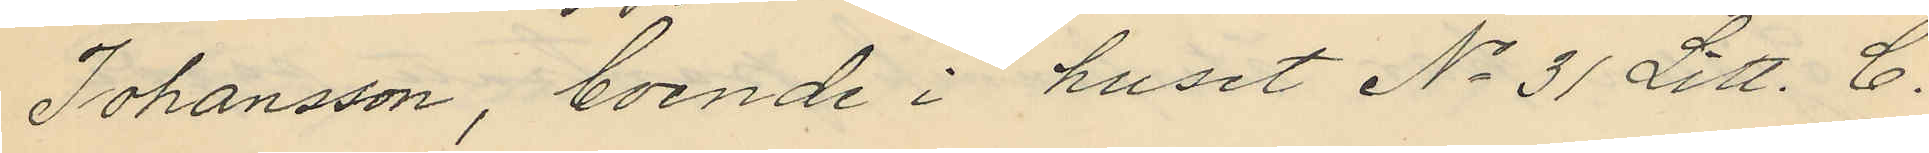Johansson, boende i huset No 31 Litt. C.
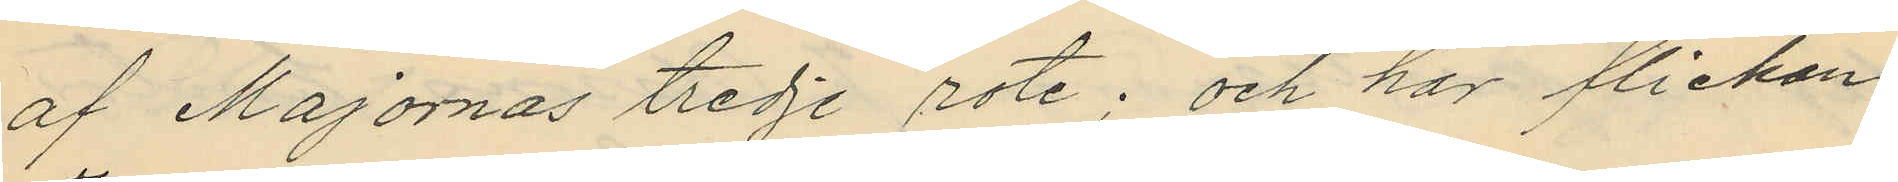af Majornas tredje rote; och har flickan
